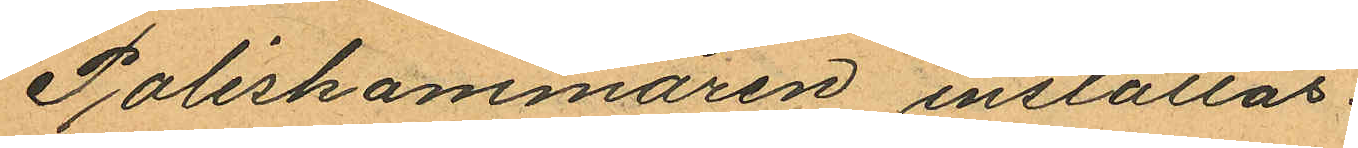Poliskammaren inställas.
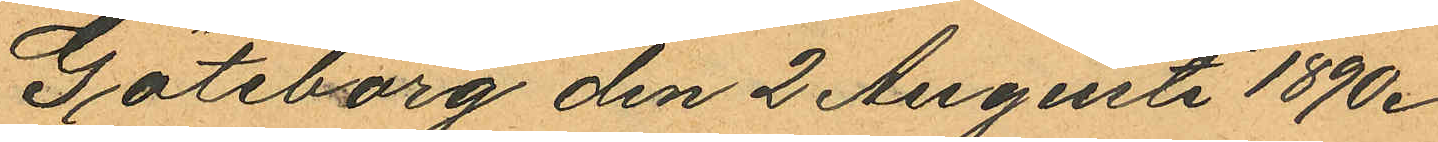Göteborg den 2 Augsti 1890.
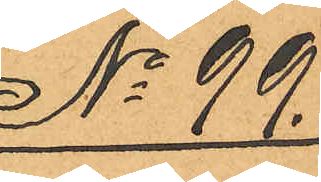No 99.
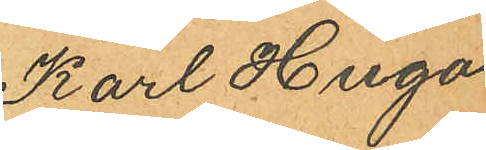Karl Hugo
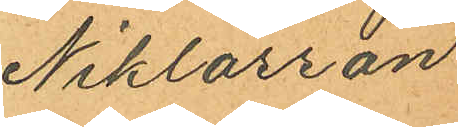Niklasson
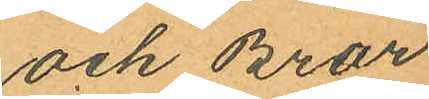och Bror
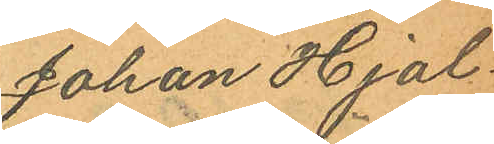Johan Hjal¬
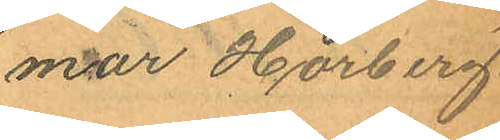mar Hörberg.
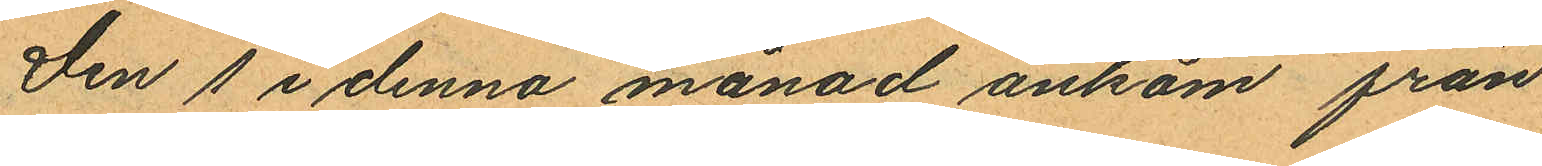Den 1 i denna månad ankom från
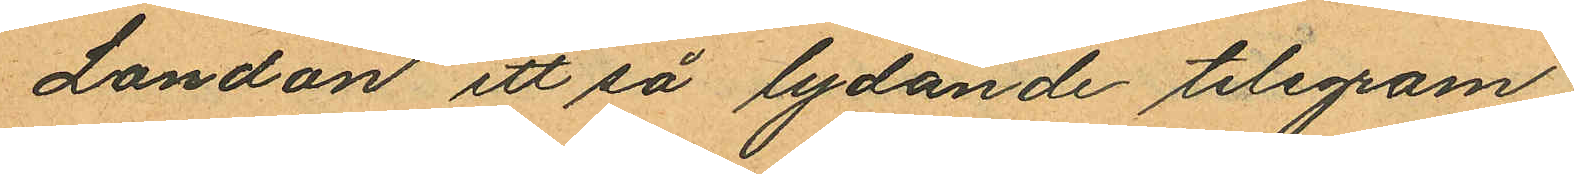London ett så lydande telegram:
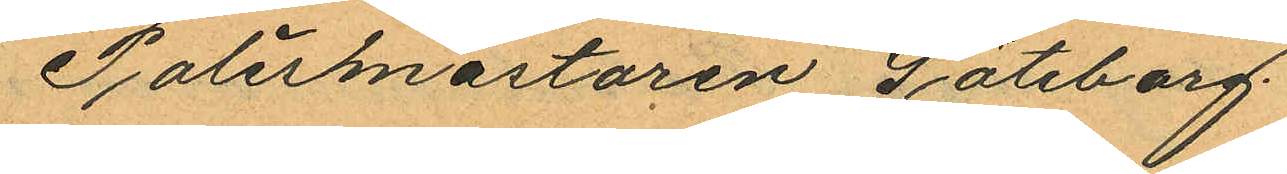Polismästaren Göteborg
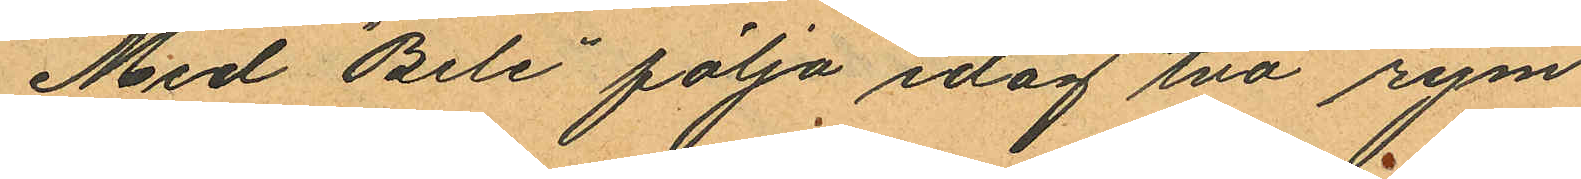Med "Bele" följa idag två rym¬
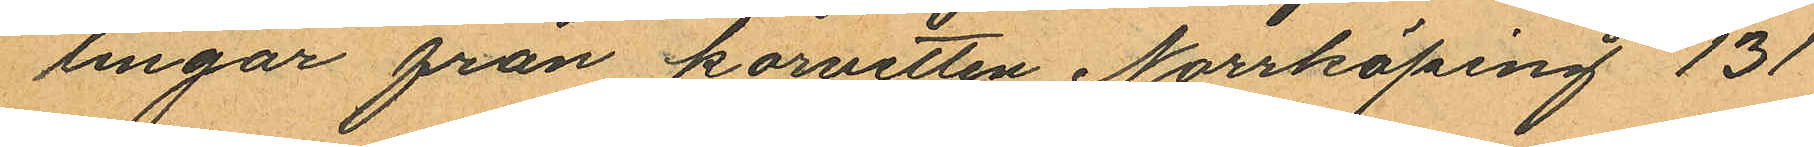lingar från korvetten Norrköping 131
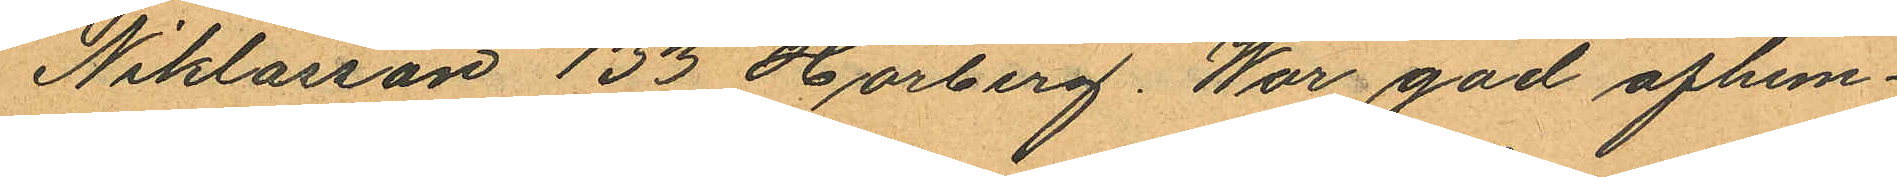Niklasson 133 Hörberg. War god afhem¬
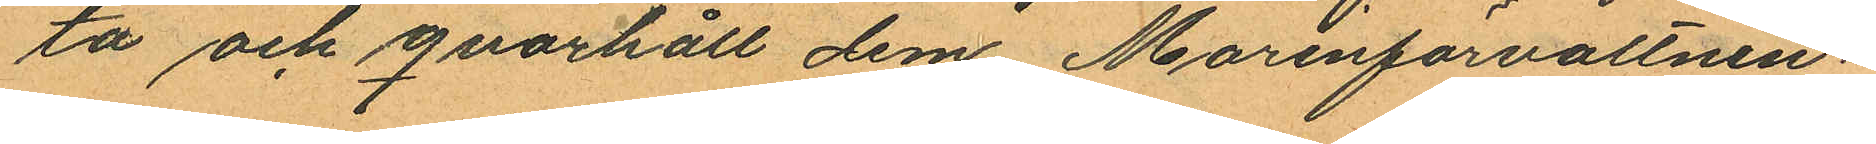ta och qvarhåll dem. Marinförvaltnin¬
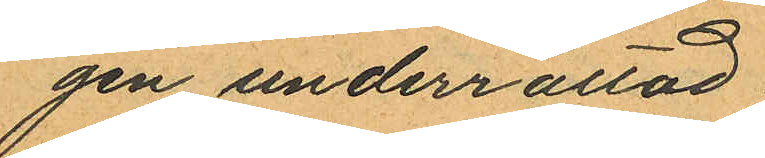gen underrättad.
